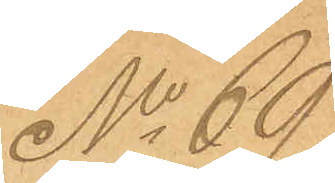No 69
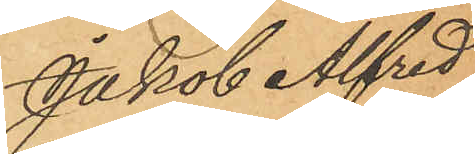Jakob Alfred
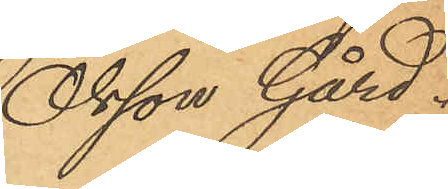Olsson Gård.
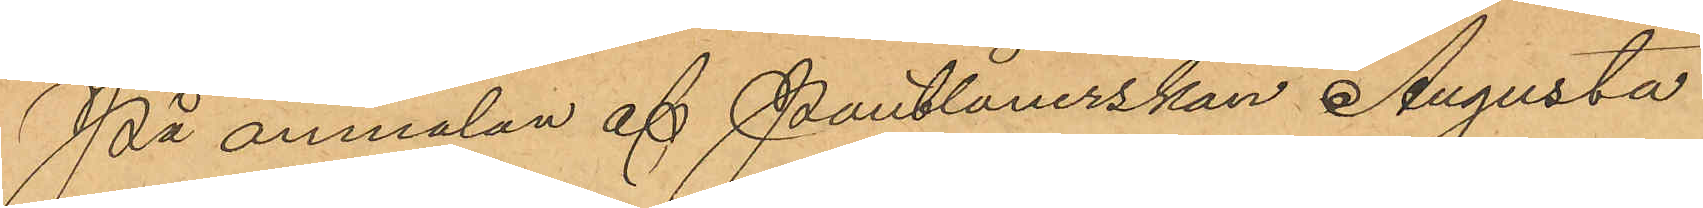På anmälan af Pantlånerskan Augusta
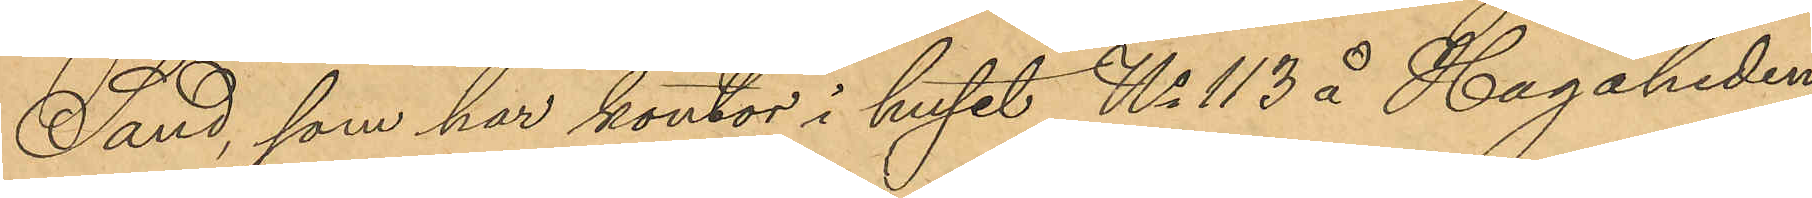Sand, som har kontor i huset No 113 å Hagaheden,
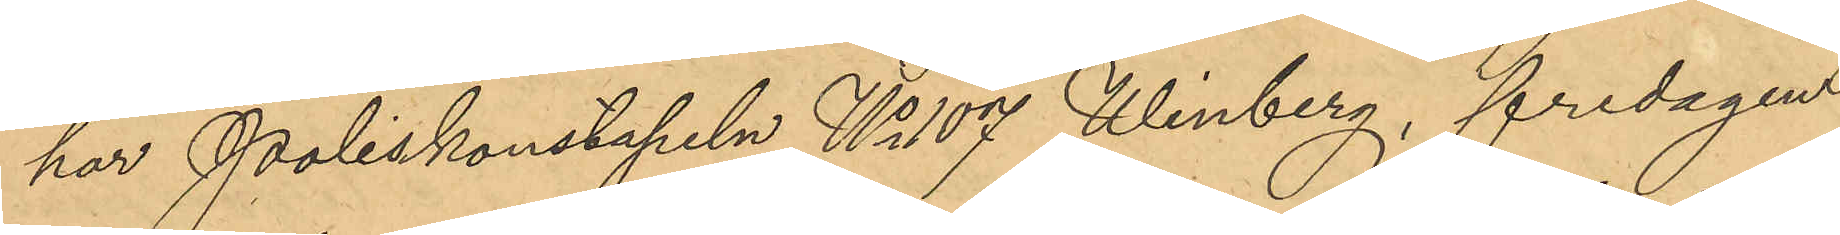har Poliskonstapeln No 107 Winberg, fredagen
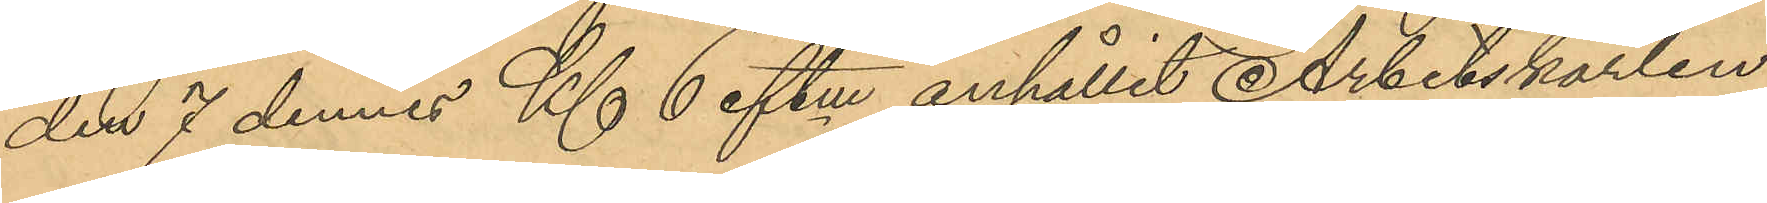den 7 dennes Kl 6 eftm anhållit Arbetskarlen
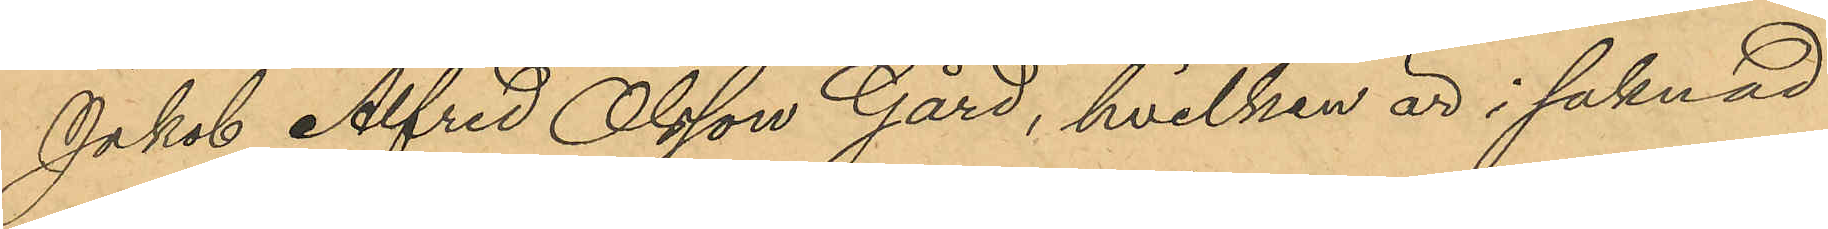Jakob Alfred Olsson Gård, hvilken är i saknad
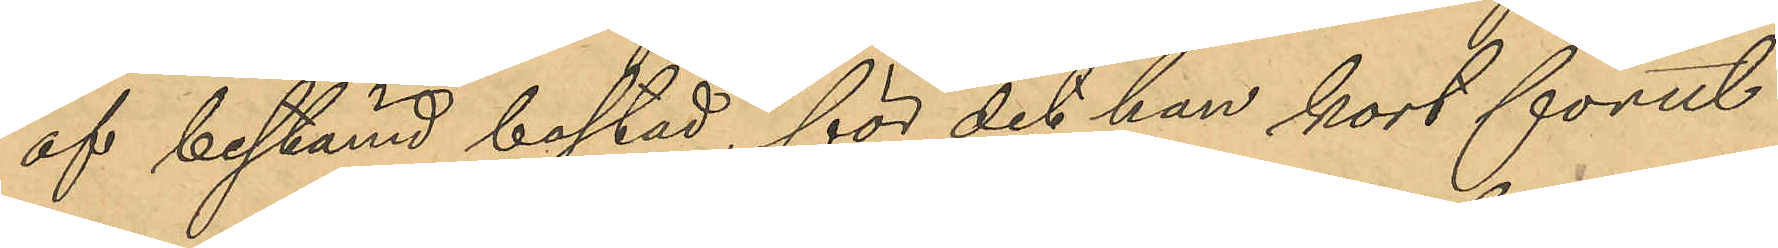af bestämd bostad, för det han kort förut
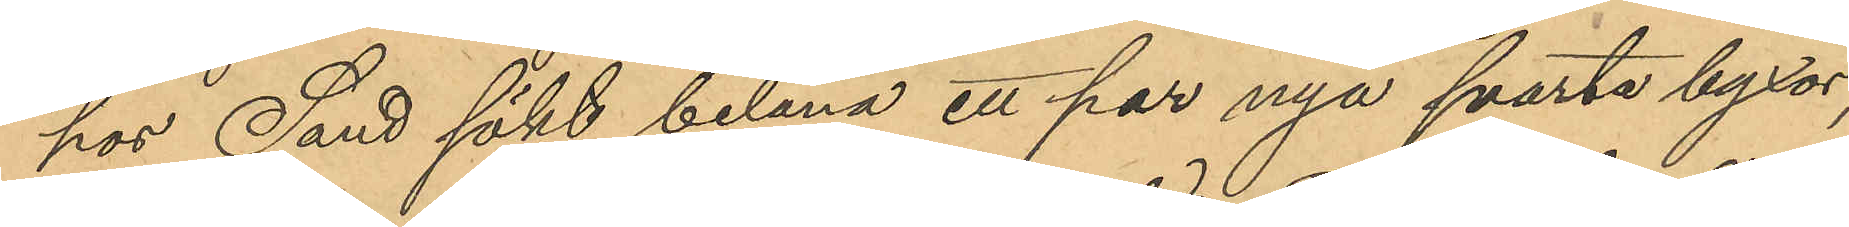hos Sand sökt belåna ett par nya svarta byxor,
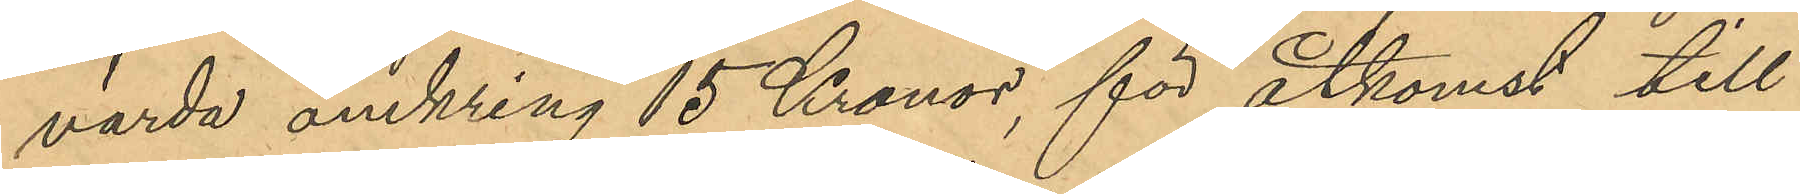värda omkring 15 Kronor, för åtkomst till
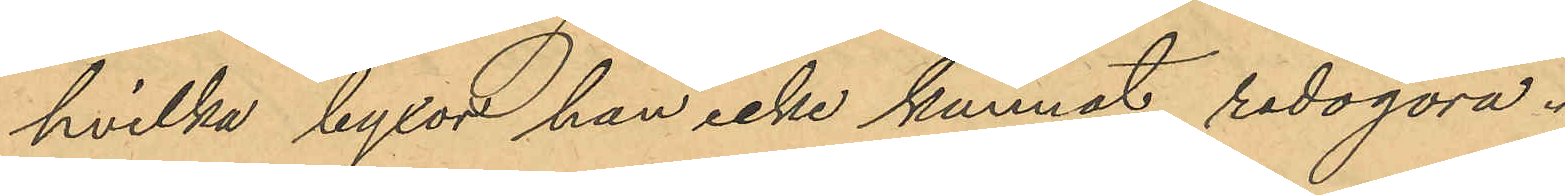hvilka byxor han icke kunnat redogöra.
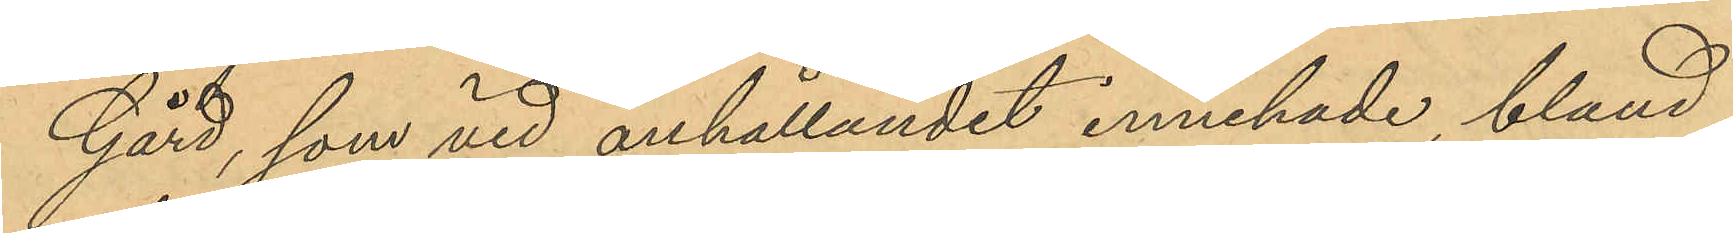Gård, som vid anhållandet innehade bland
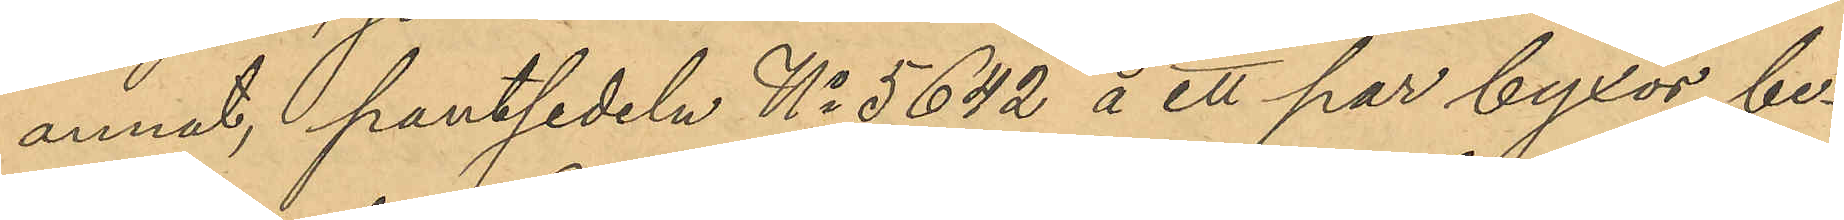annat, pantsedeln No 5642 å ett par byxor, be¬
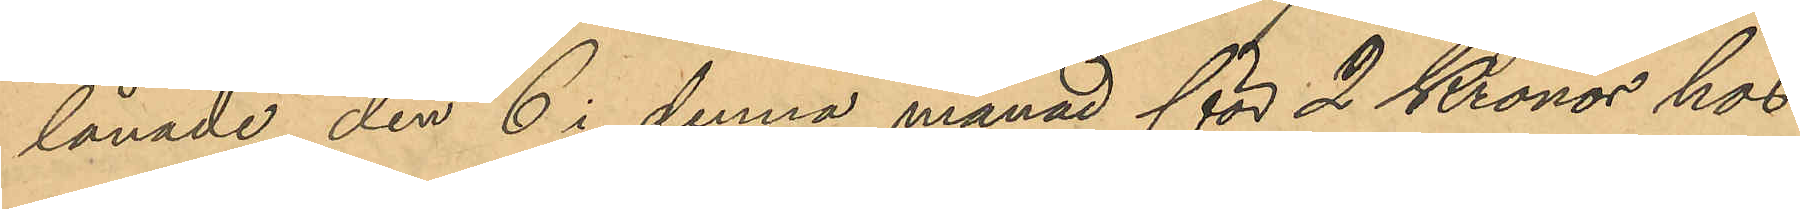lånade den 6 i denna månad för 2 Kronor hos
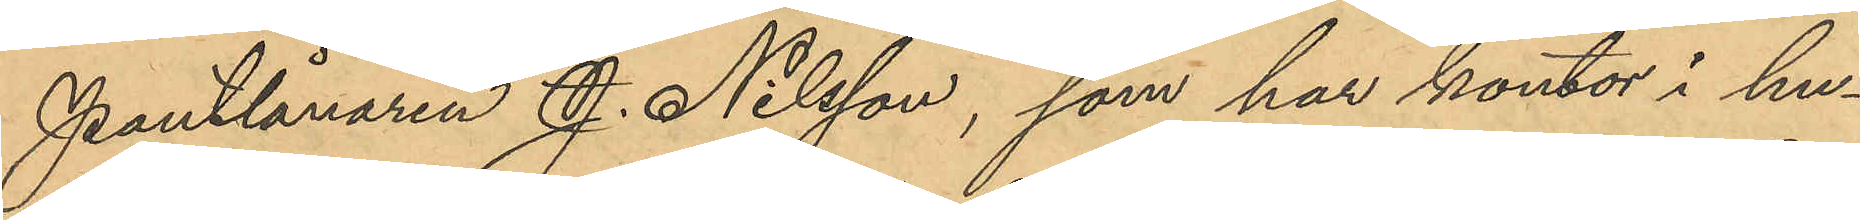Pantlånaren J. Nilsson, som har kontor i hu¬
